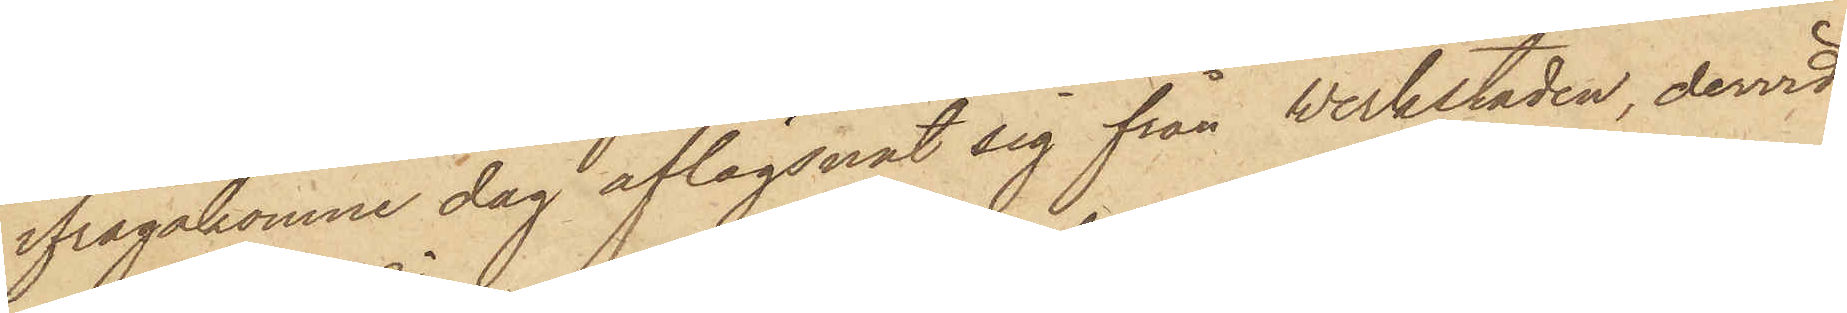ifrågakomne dag aflägsnat sig från werkstaden, dervid
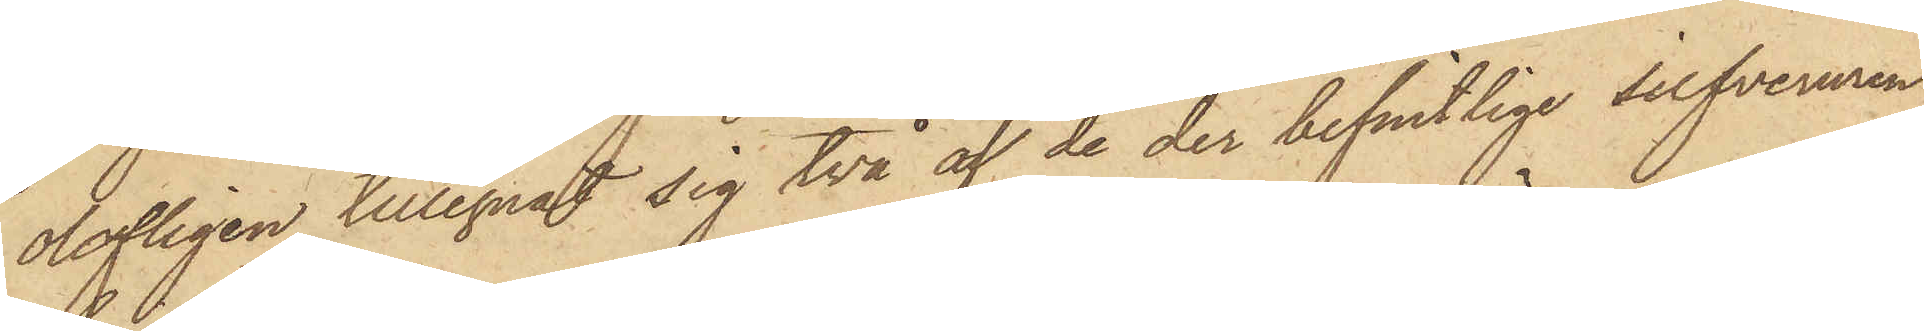olofligen tillegnat sig två af de der befintlige silfveruren,
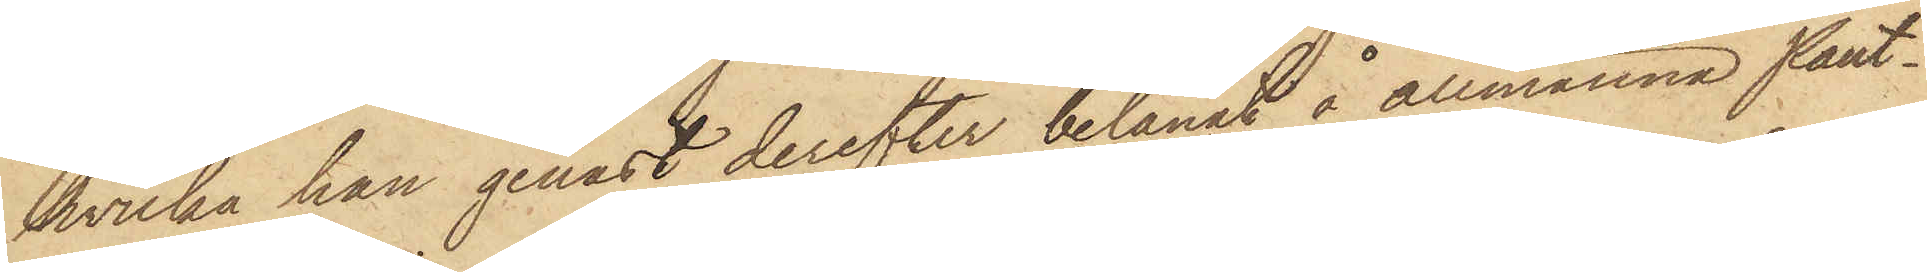hvilka han genast derefter belånat å allmänna Pant¬
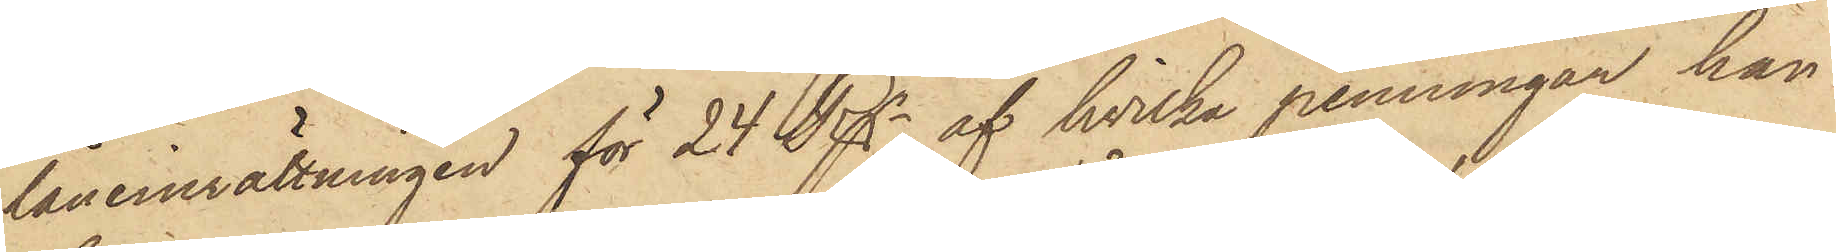låneinrättningen för 24 Rgr, af hvilka penningar han
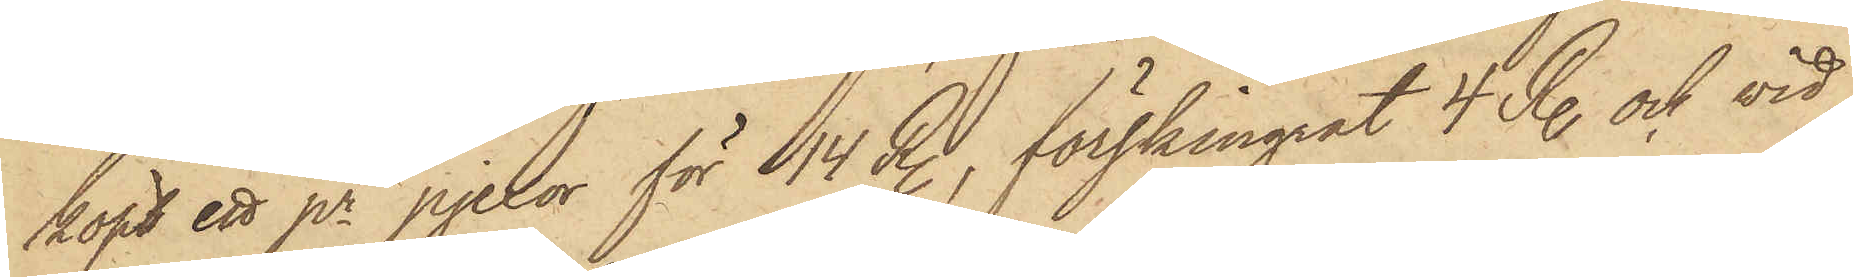köpt ett pr pjexor för 14 R., förskingrat 4 R. och vid
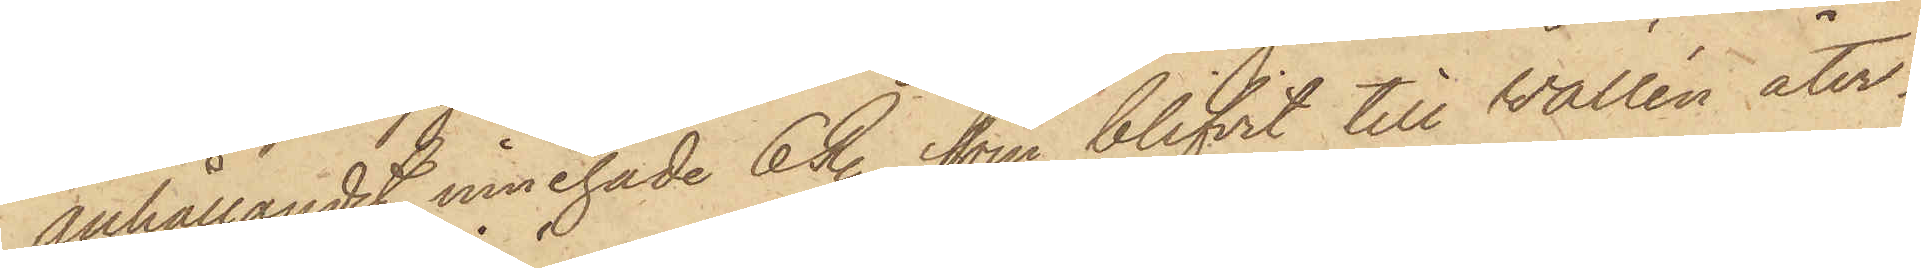anhållandet innehade 6 R., som blifvit till Wallén åter¬
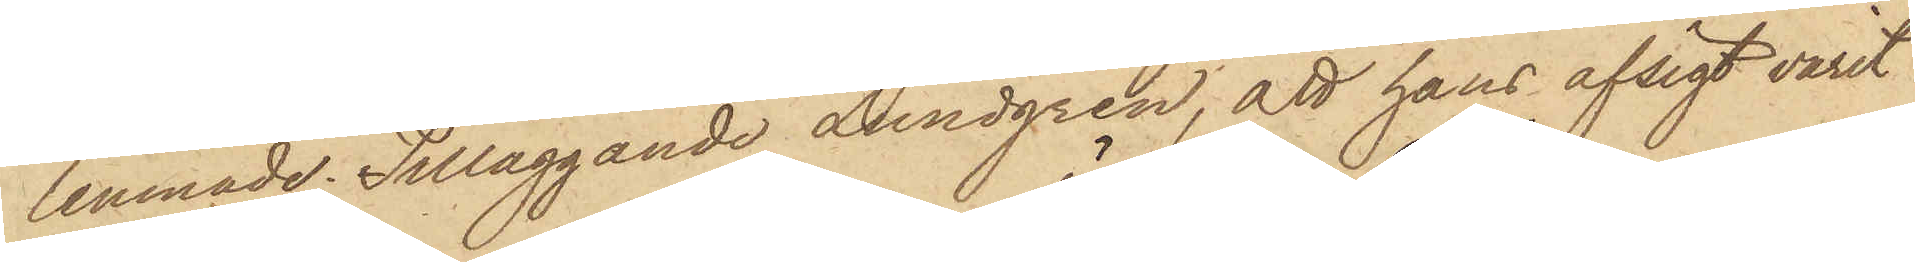lemnade; Tilläggande Lundgren, att hans afsigt varit
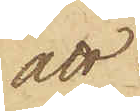att
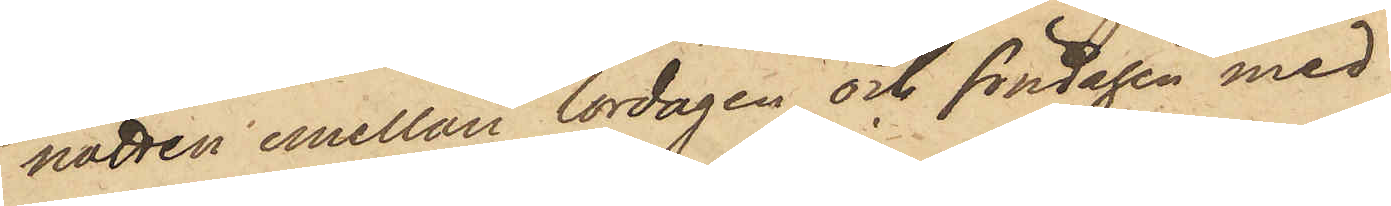natten emellan lördagen och söndagen med
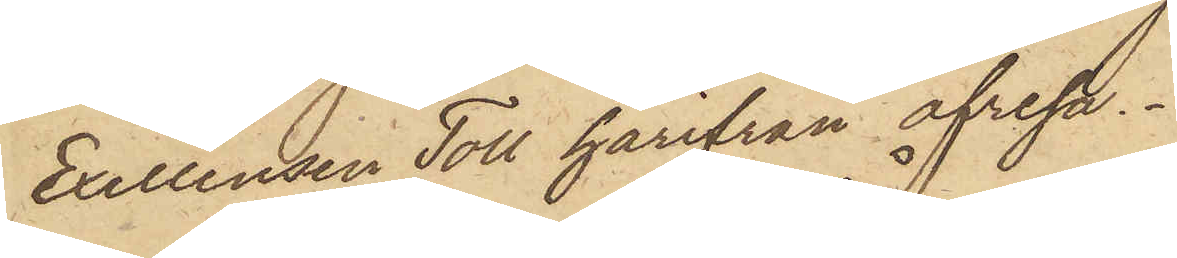Exellensen Toll härifrån afresa.
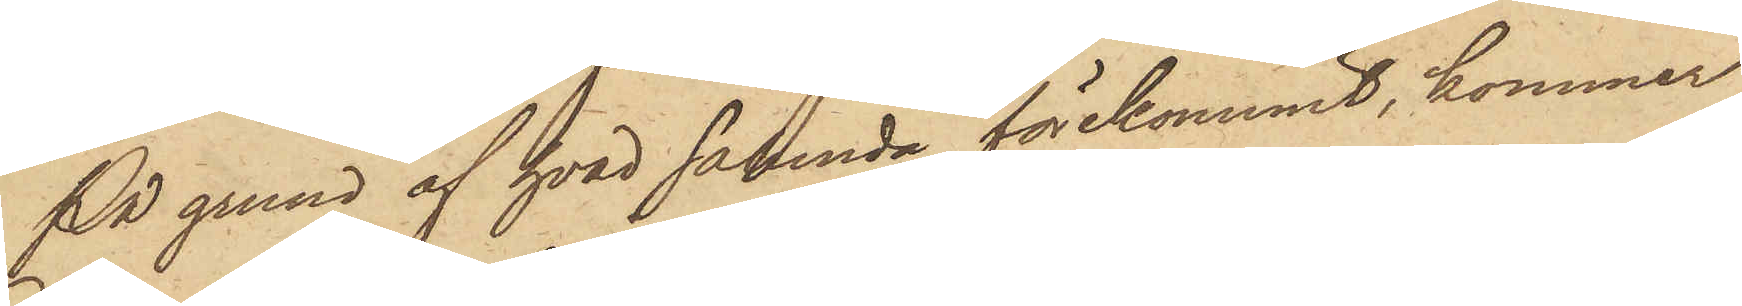På grund af hvad sålunda förekommit, kommer
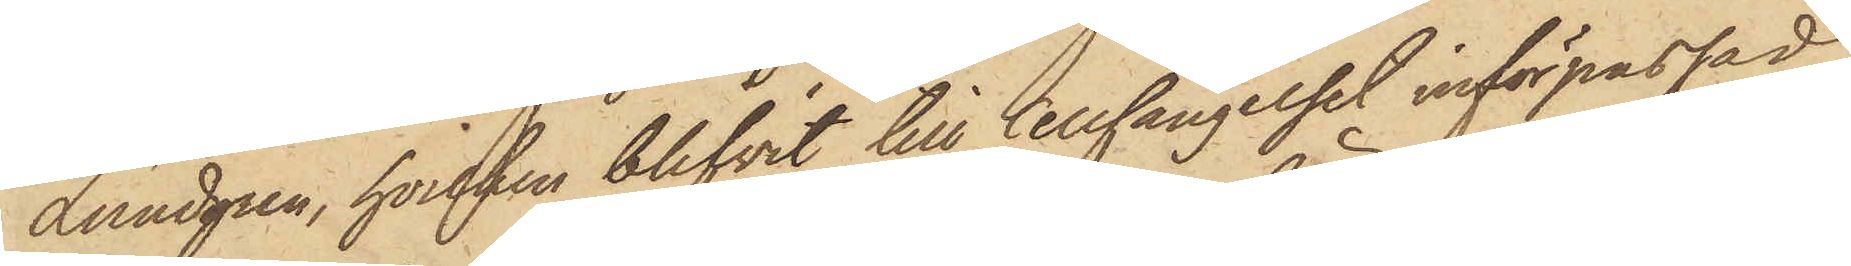Lundgren, hvilken blifvit till Cellfängelset införpassad,
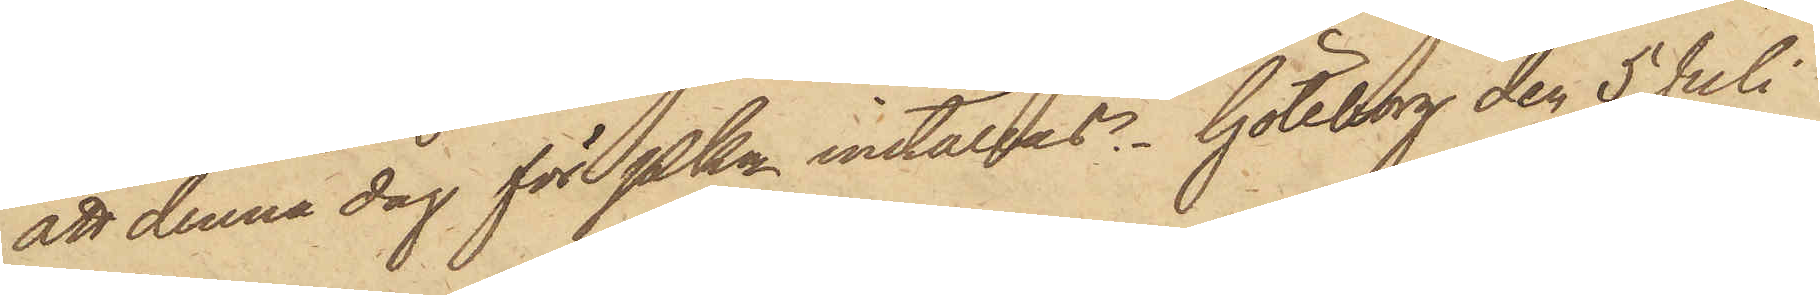att denna dag för Pkn inställdas. Göteborg den 5 Juli
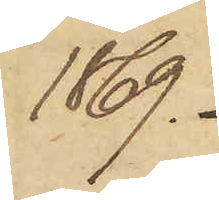1869.
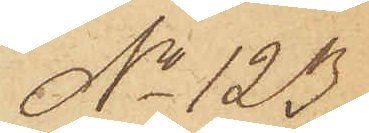No 123.
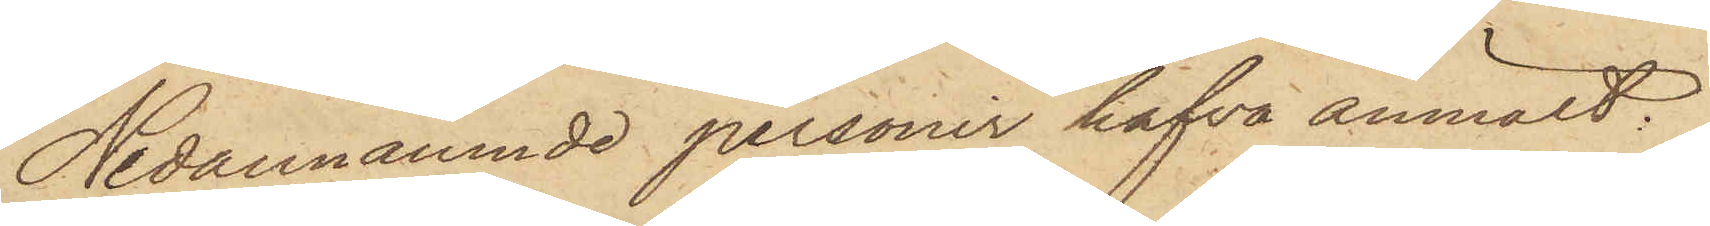Nedannämnde personer hafva anmält,
